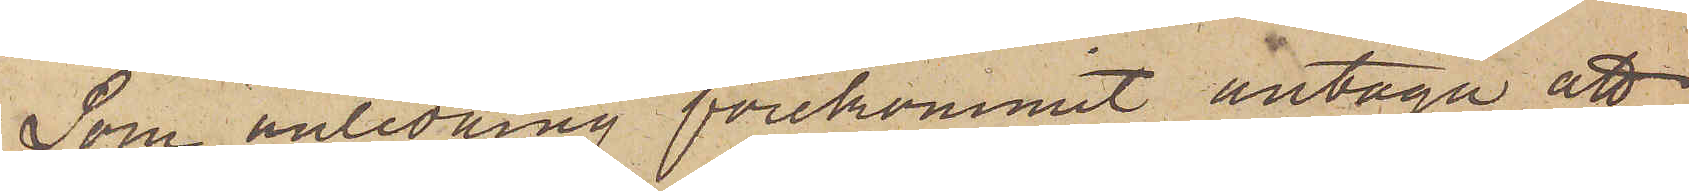Som anledning förekommit antaga att
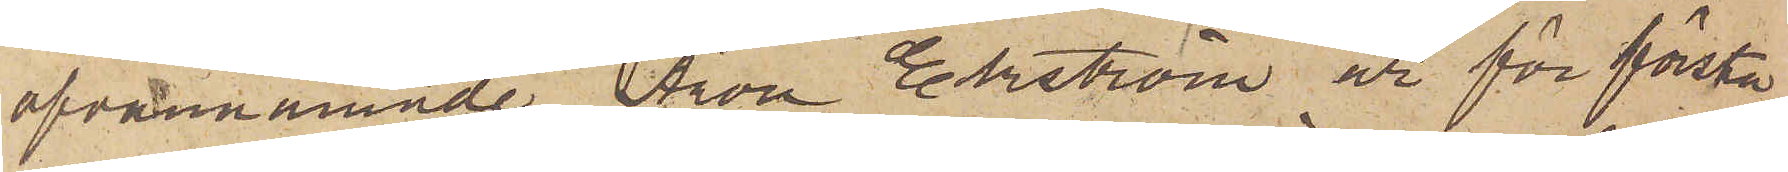ofvannämnde Aron Ekström är för första
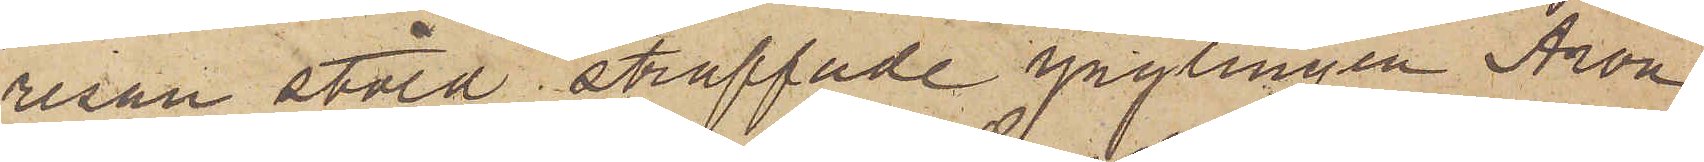resan stöld straffade ynglingen Aron
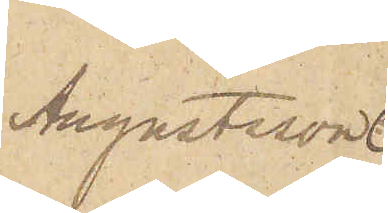Augustsson
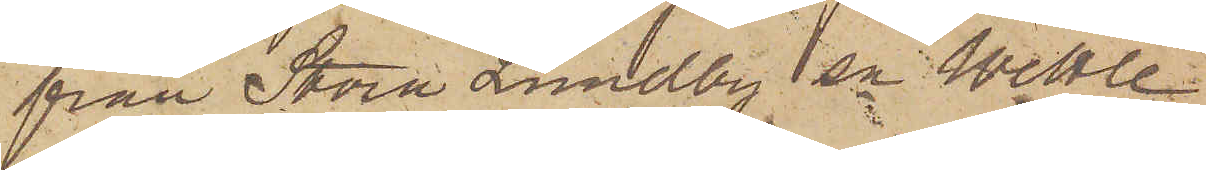från Stora Lundby sn Wettle
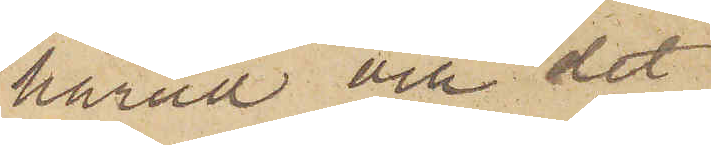härad och det
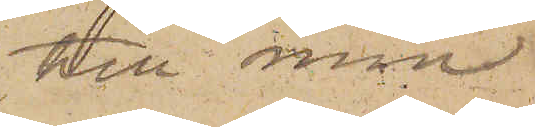till min
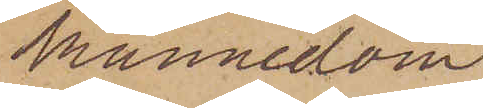kännedom
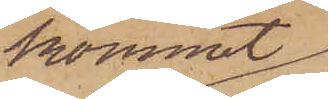kommit
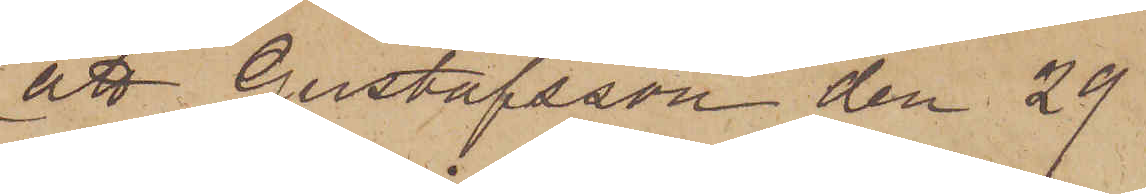att Gustafsson den 29
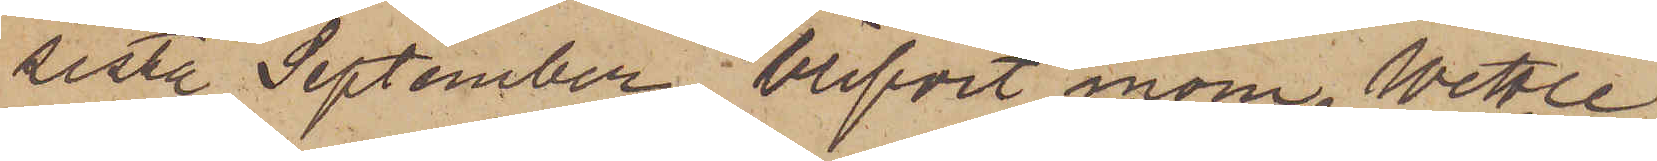sista September blifvit inom Wettle
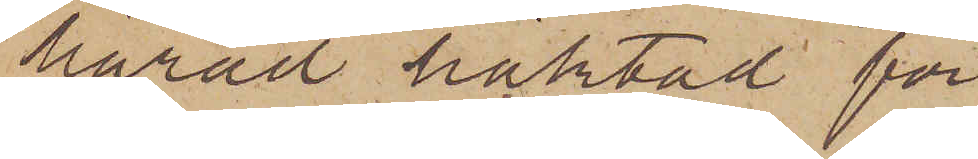härad häktad för
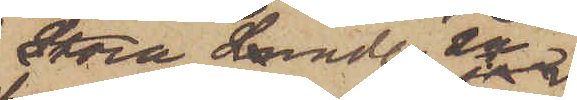i Stora Lundby
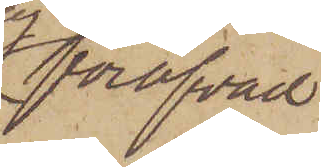föröfvad
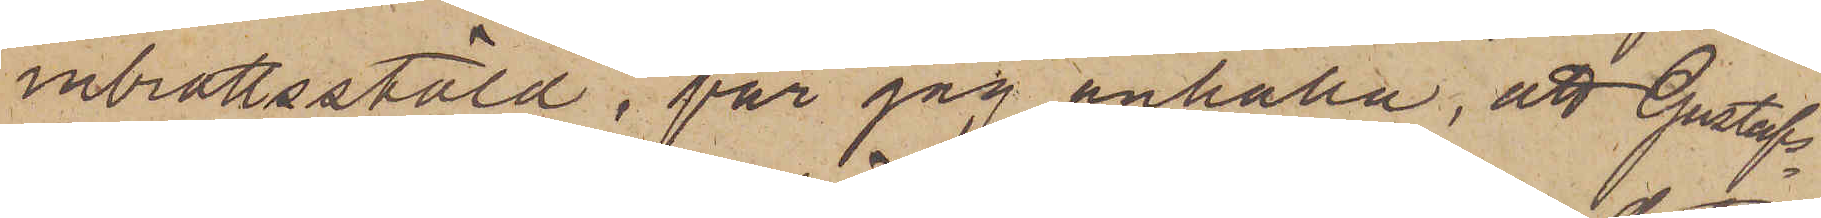inbrottsstöld, får jag anhålla, att Gustafs¬
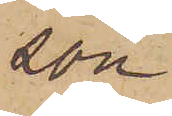son
